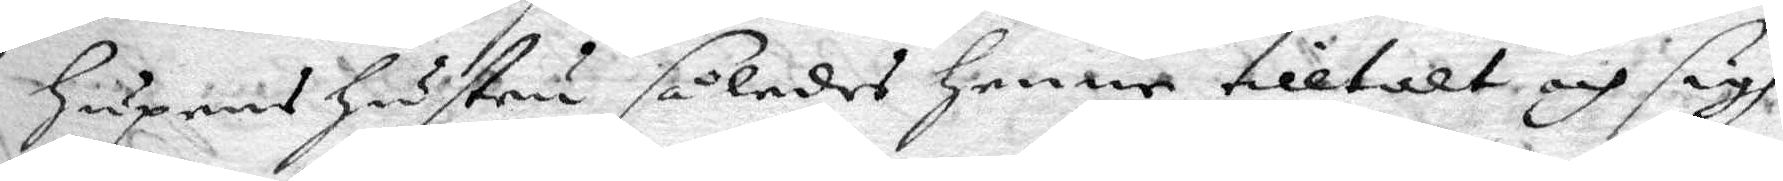hupens hustru således henne tilltalt och sigh
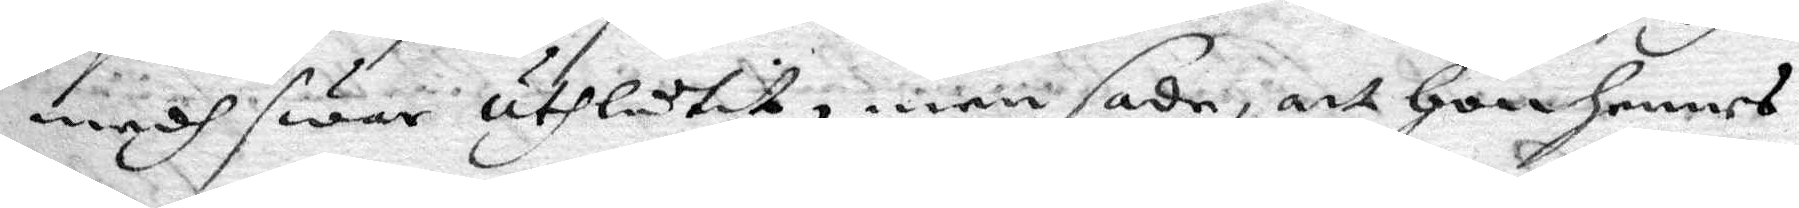medh swar uthlåtit, men sade, att hon hennes
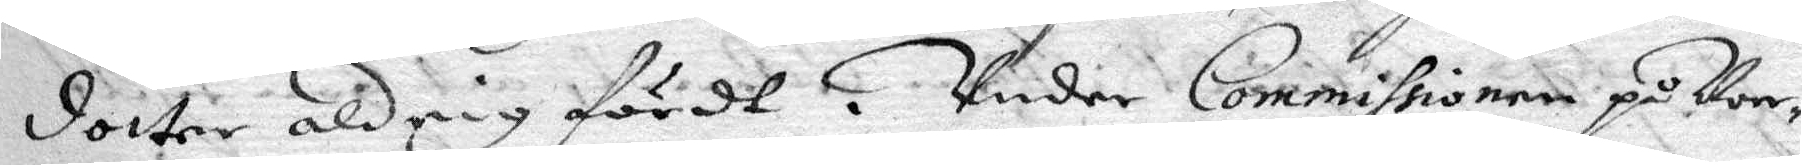dotter aldrig fördt. Under Commissionen på Norr¬
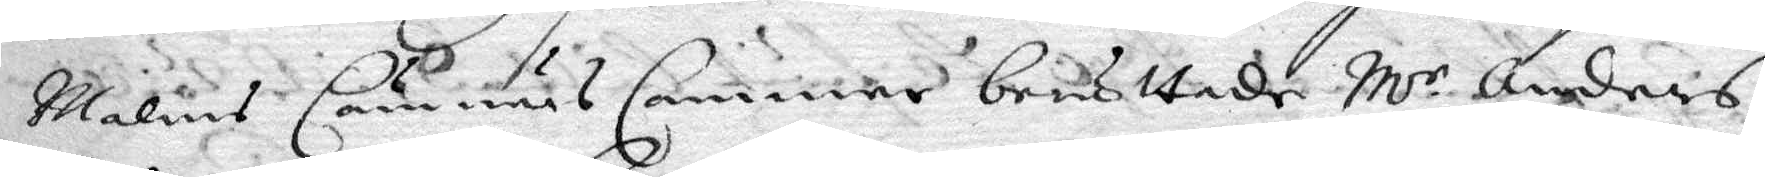Malms Cämnärs Cammar berättade Mr Anders
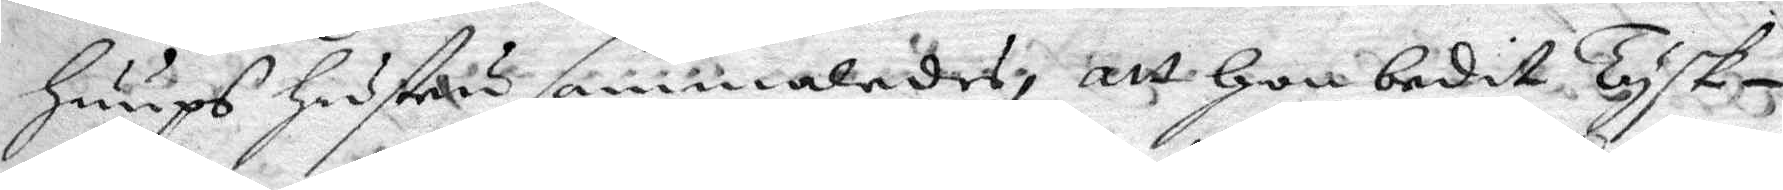huups hustru sammaledes, att hon bedit Tysk¬
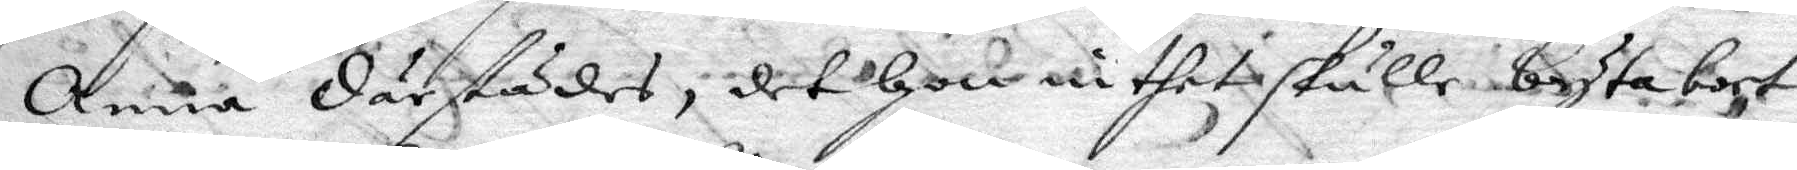Anna därstädes, det hon inthet skulle byta bort
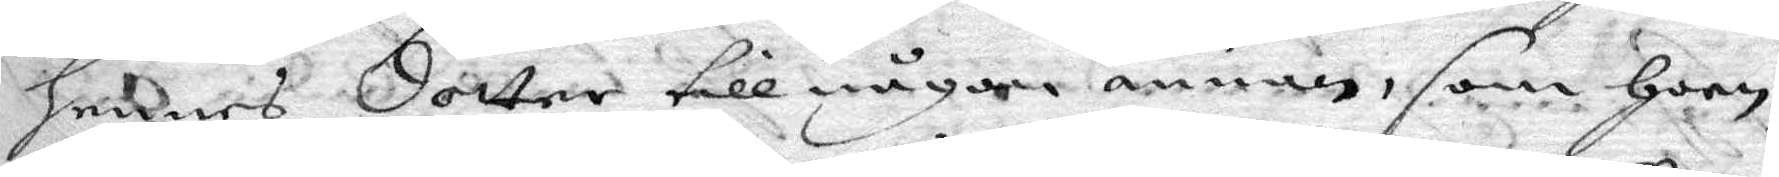hennes dotter till någon annan, som hoon
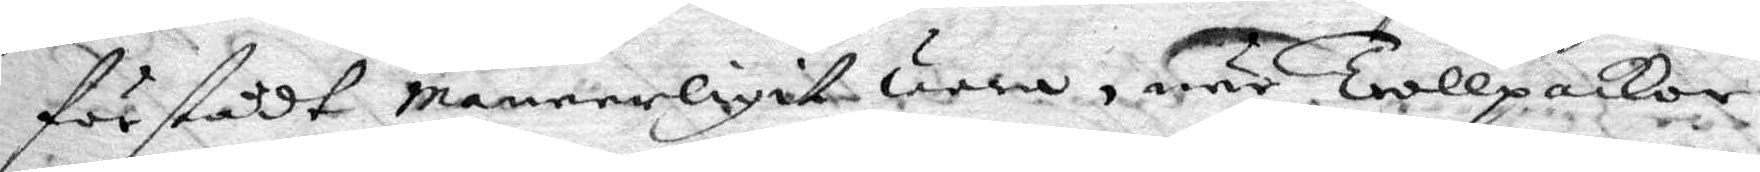förstådt meneerligit wara, när Trollpackor
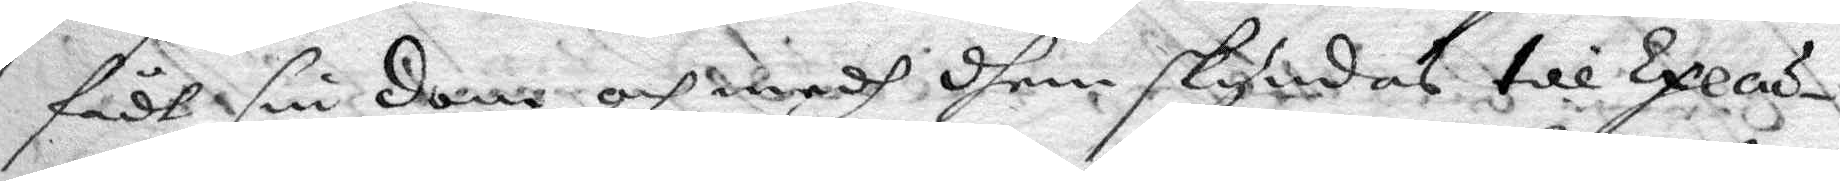fådt sin dom och medh dhem skyndas till Execu¬
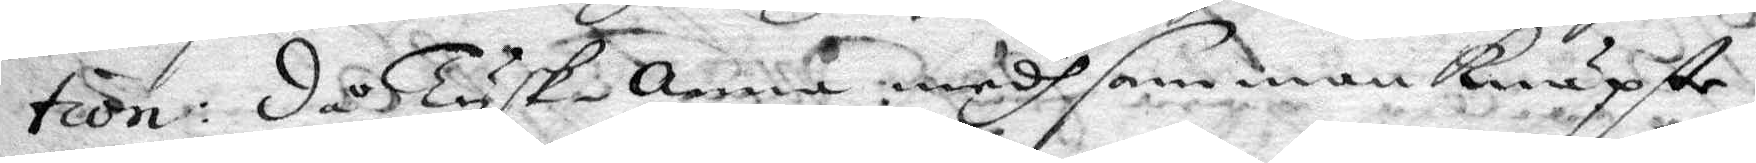tion: då Tysk-Anna medh sammanknäpte
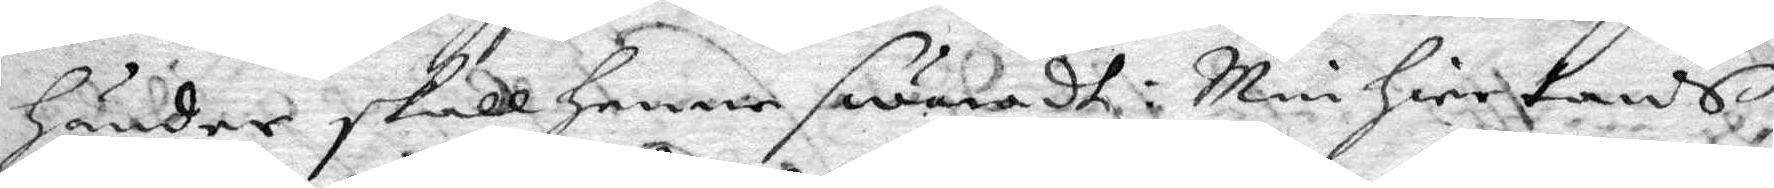händer skall henne swaradt: Min hiertans
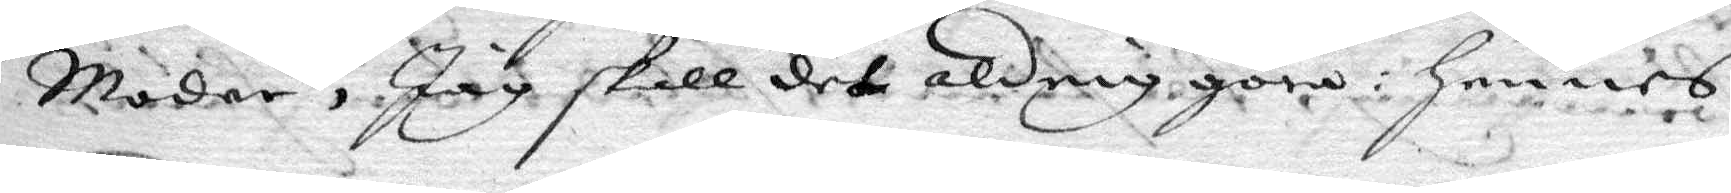Moder, jag skall det aldrig göra: hennes
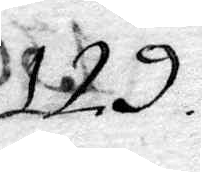129.
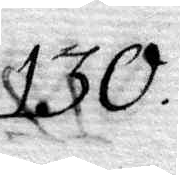130.
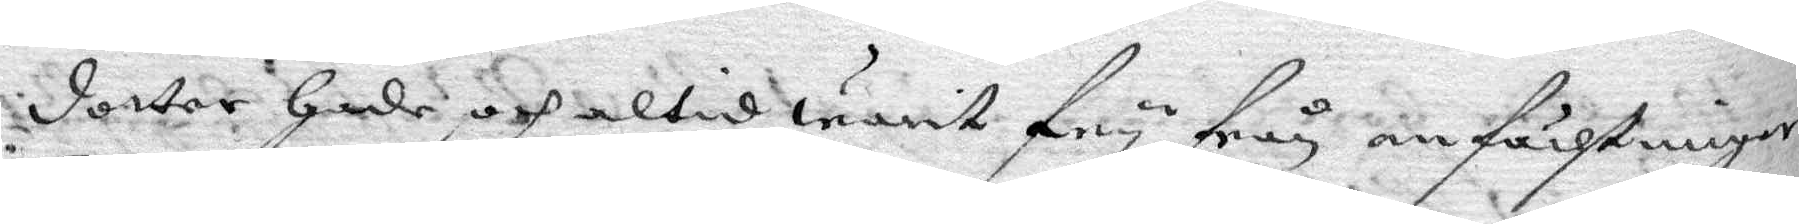dotter hade och altid warit fry från anfächtningar
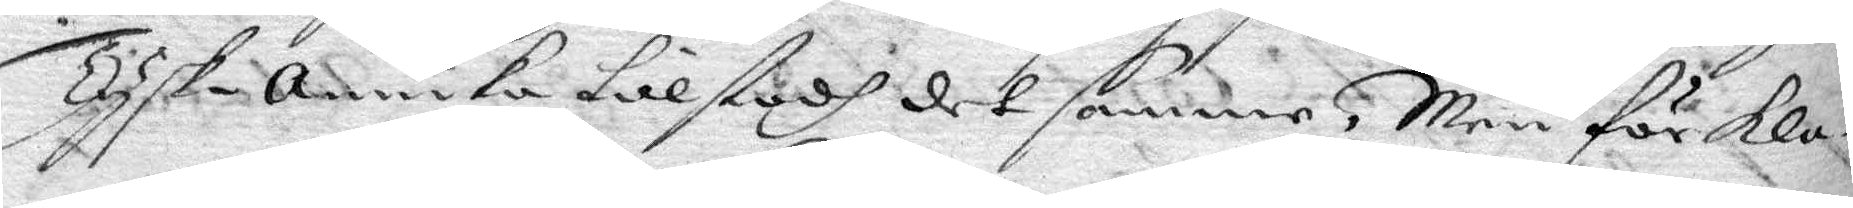Tysk-Annika tilstodh det samme, Men förkla¬
